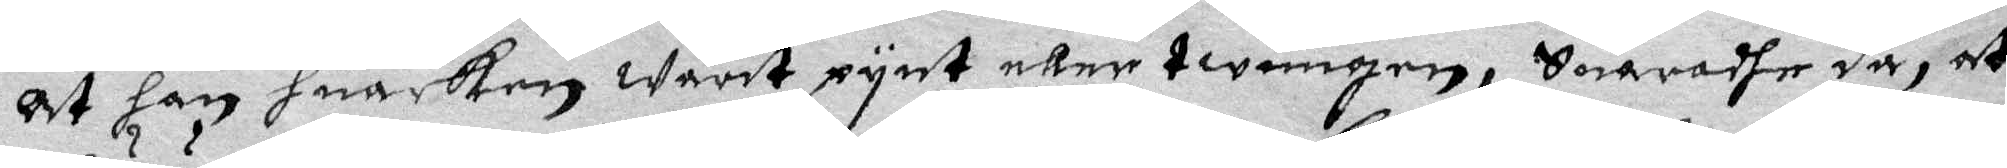at han huarken Warit pynt eller twungen, Suaradhe då, at
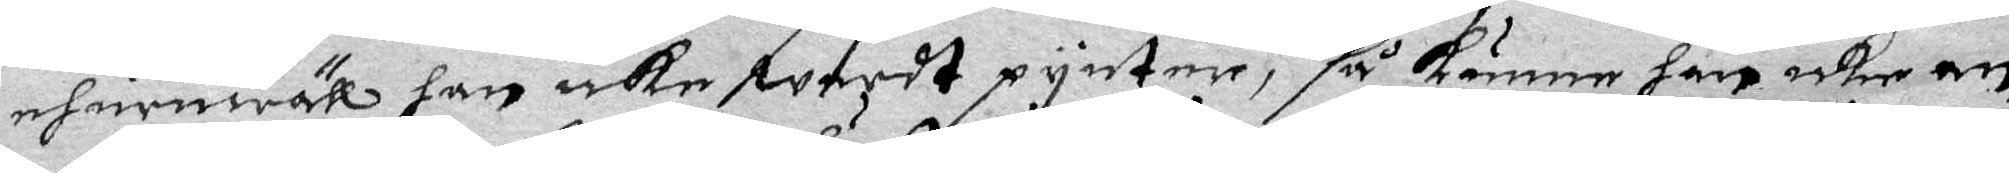ehuruwäll han icke wardt pynter, så kunner han icke an¬
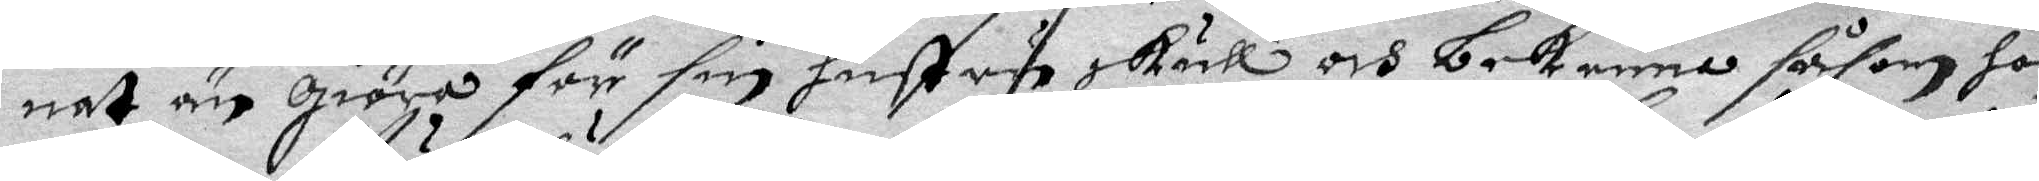nat an giöra för sin hustru skull och bekenna såsom hon
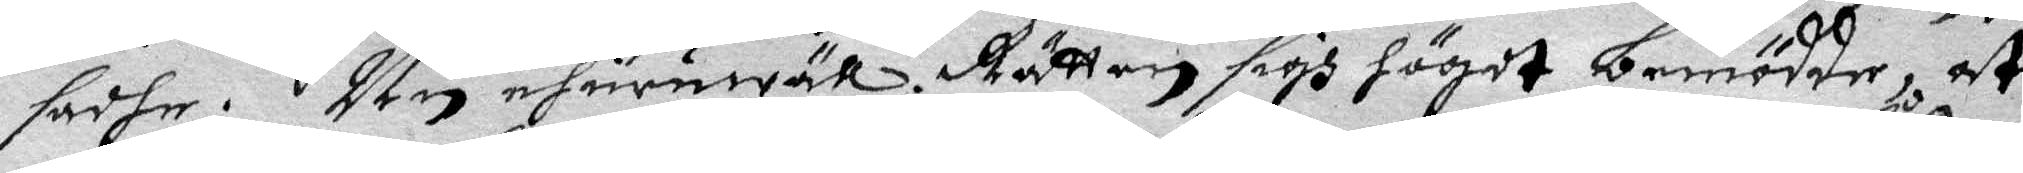sadhe. Nu ehuruwäll Rätten sigh högdt bemödde, at
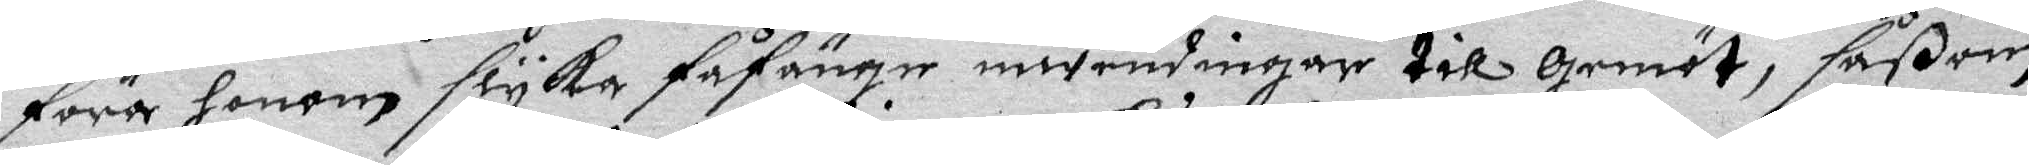föra honom slyka fåfänge inwendningar till gemöt, såßom
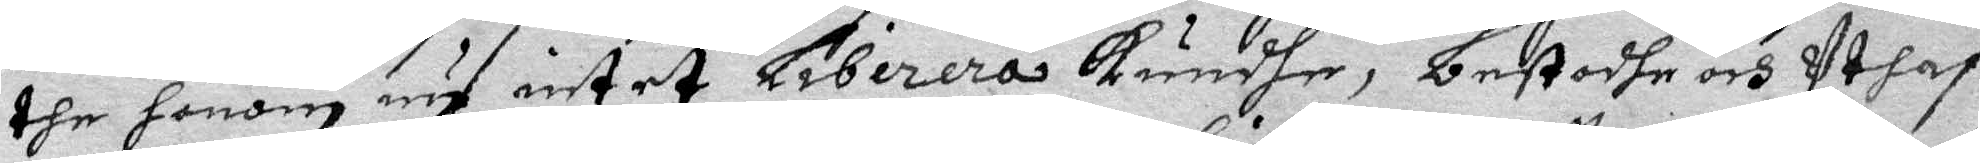the honom nu intet Libirera Kundhe, bestodhe och Uthaf
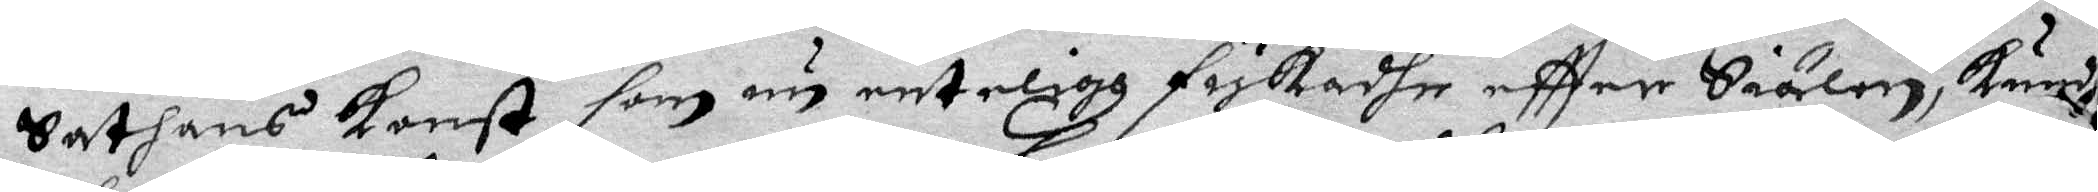Satnas konst som nu enteligz fiskade eftter Siälen, Kunde
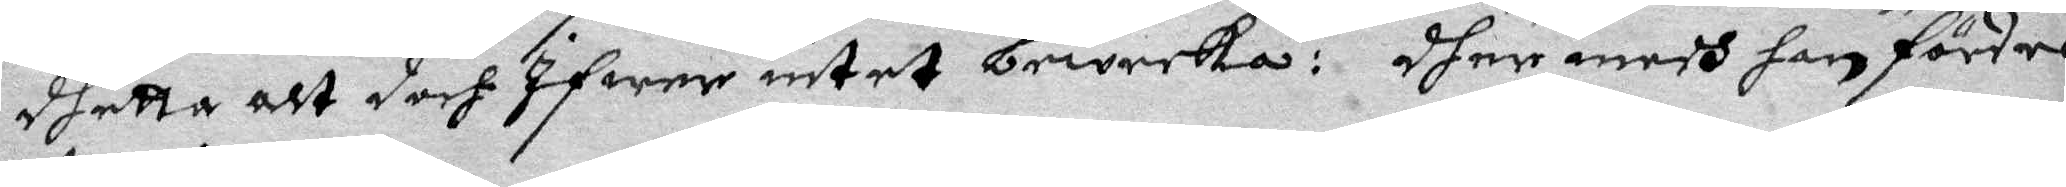dhetta alt doch Ifwer intet beweeka: dher medh han fördes
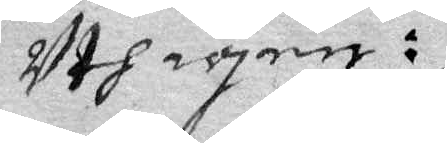Uth igen:
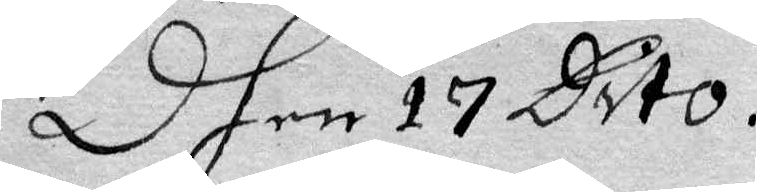Dhen 17 Dito.
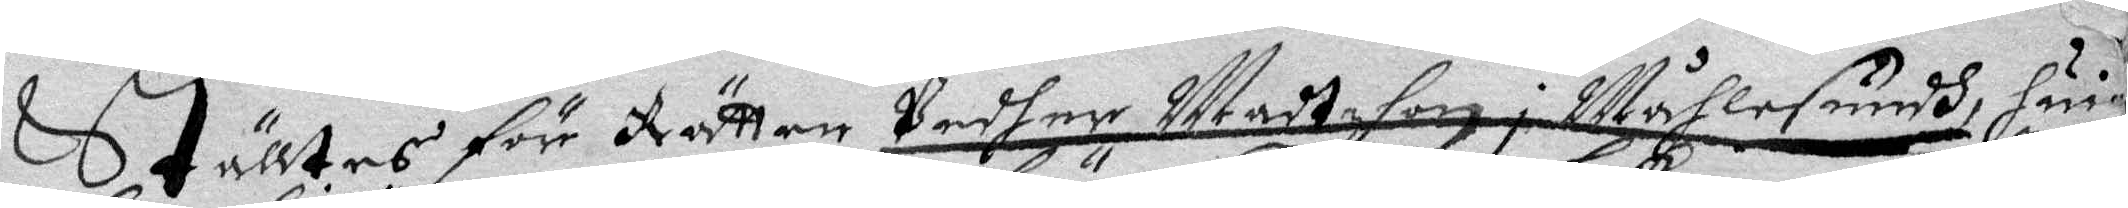Ställtes för Rätten Pedher Madtzson i Måhlesundh, huil¬
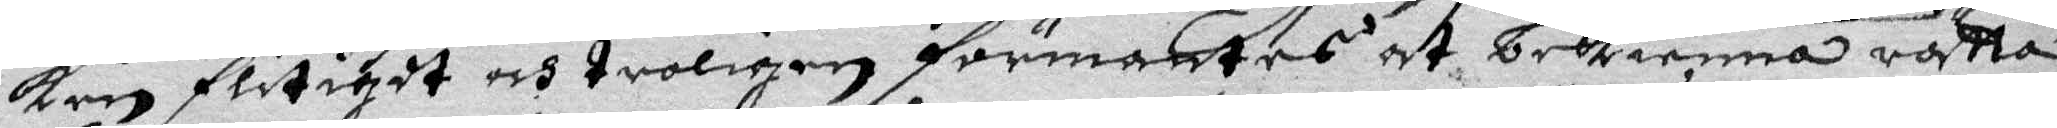ken flitigdt och troligen förmantes at bekienna rätta
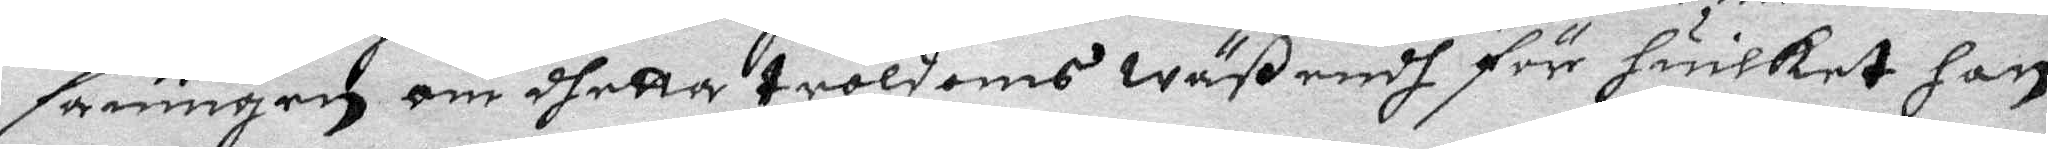sanningen om dhetta troldoms Wäßendh för huilket han
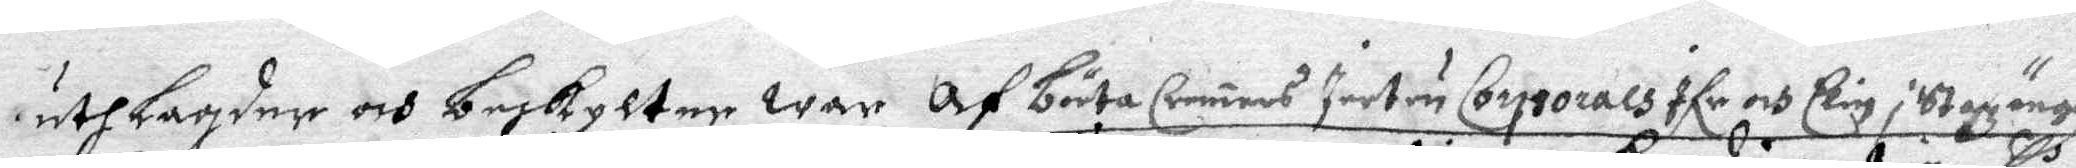uthlagder och beskylter war Af Börta Cramers Iertru Corpsorals Ifr och Elin i Stazängn
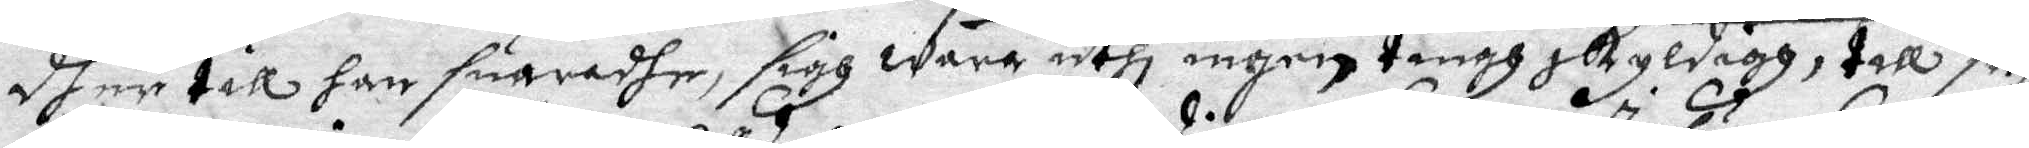dher till han suaradhe, sigh wara uthi ingenting skyldigg, till så¬
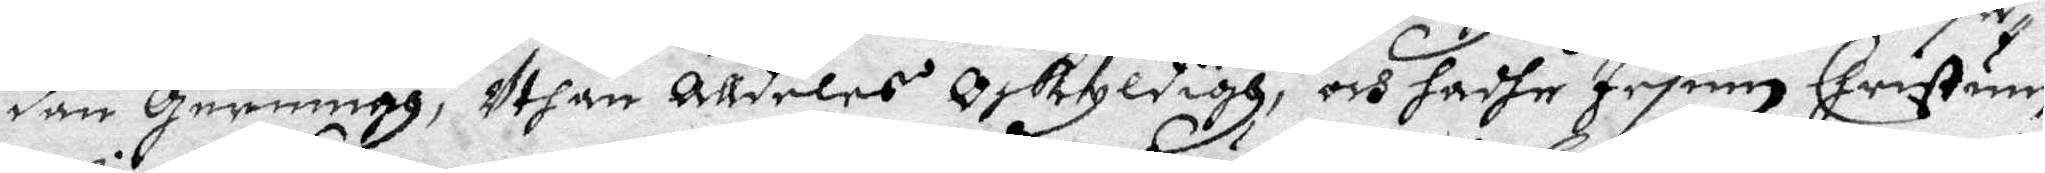dan Gerning, Uthan alldelses oskyldigh, och hadhe Iesum Christum
